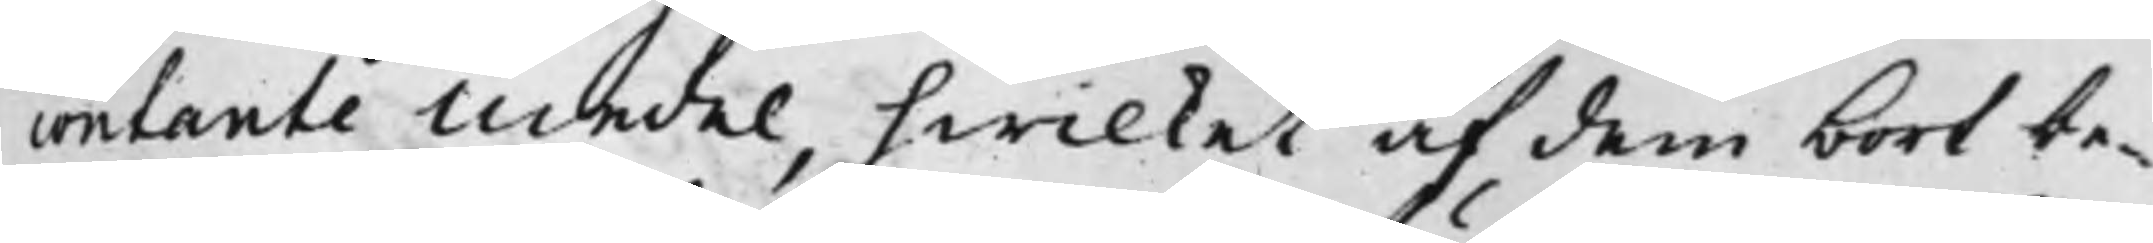contante medel, hwilket af dem bort be¬
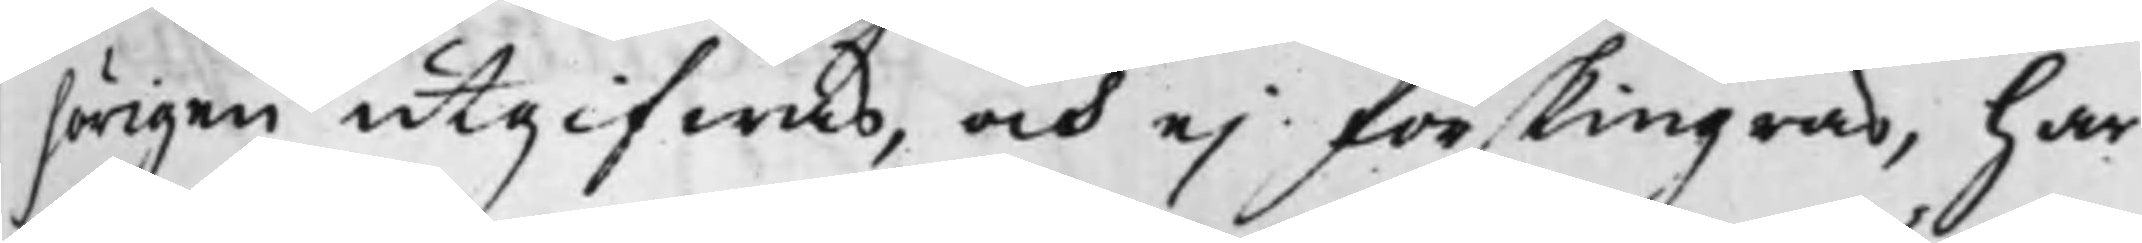hörigen utgifwas, och ej förskingras, har
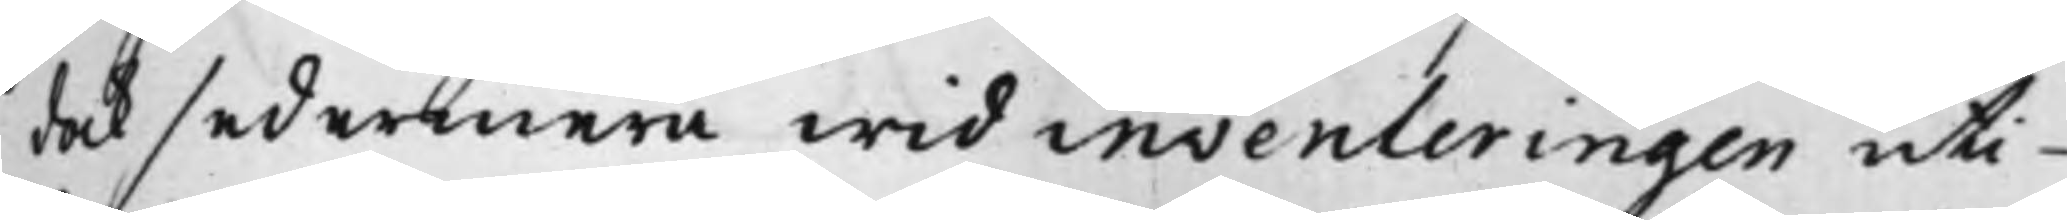dock sedermera wid inventeringen uti
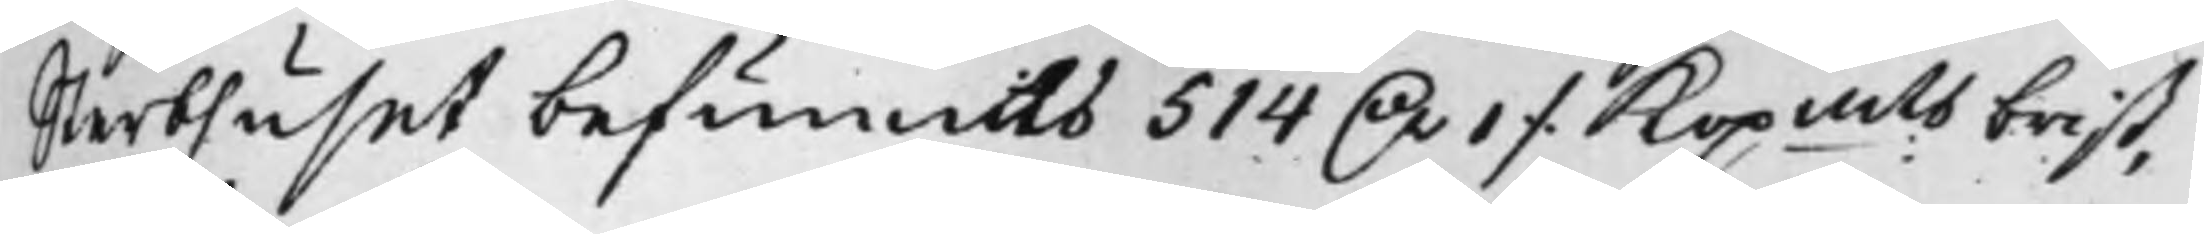Sterbhuset befunnits 514 D.r 1 ./. Kopmts brist,
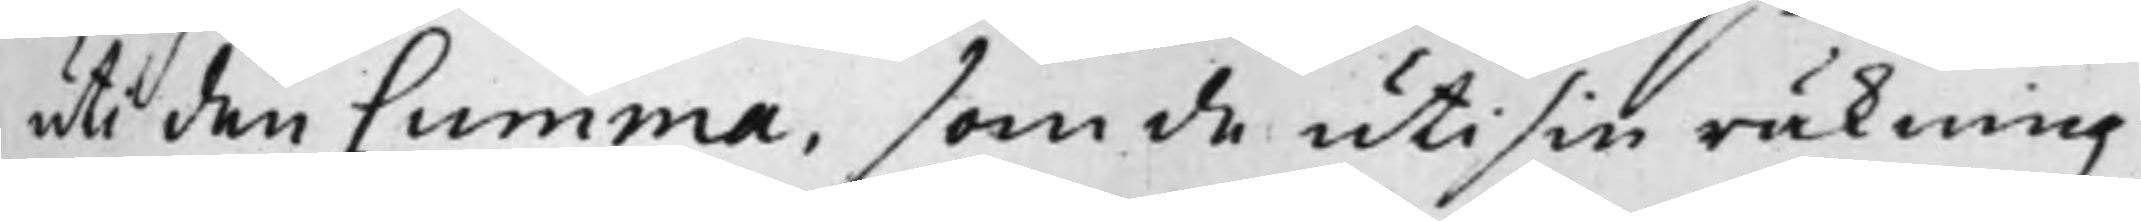uti den summa, som de uti sin räkning
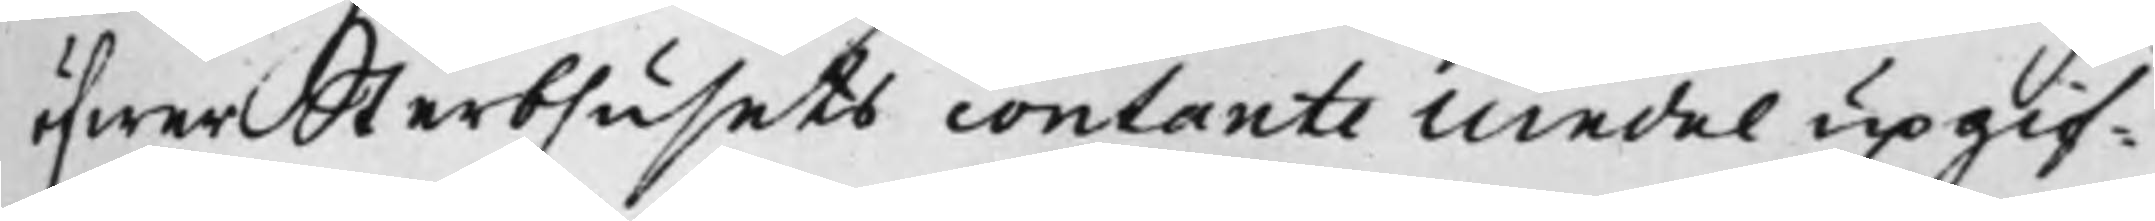öfwer sterbhusets contante medel upgif¬
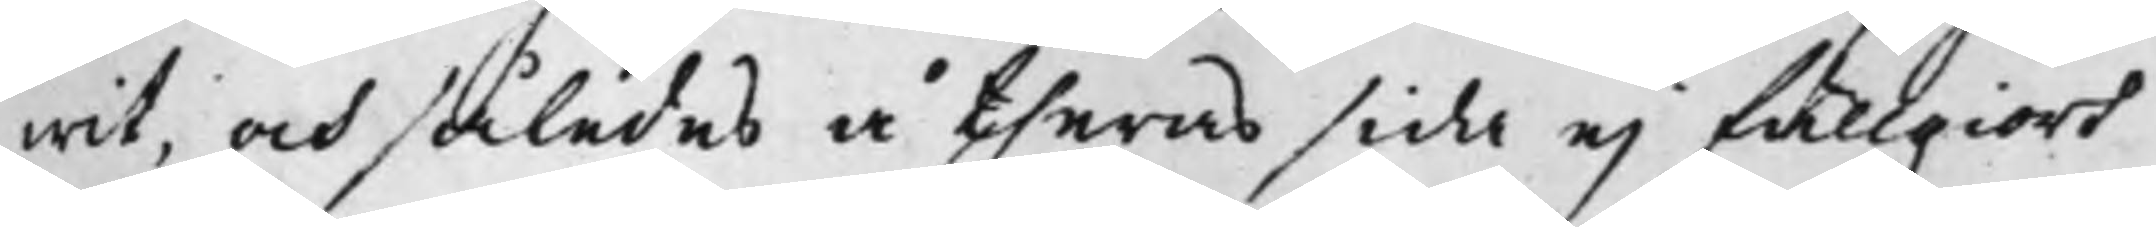wit, och således å theras sida ej fullgiort
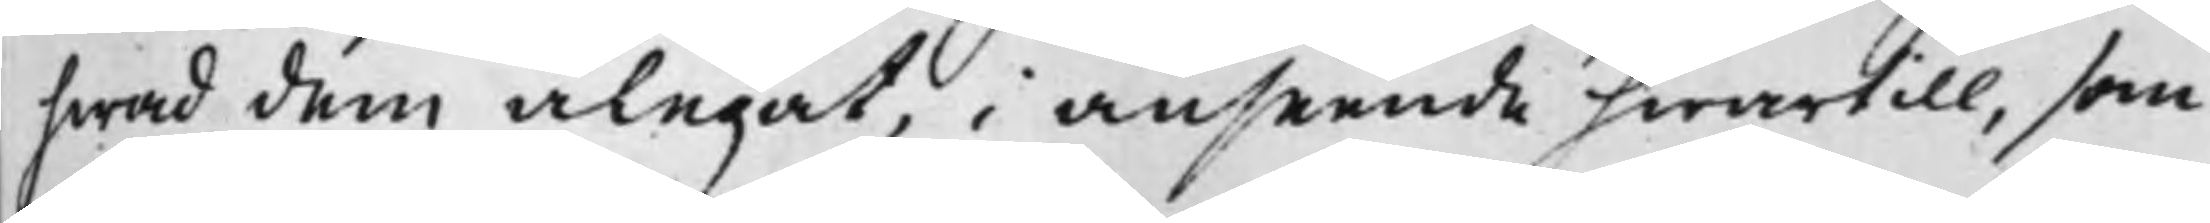hwad dem ålegat, i anseende hwartill, som
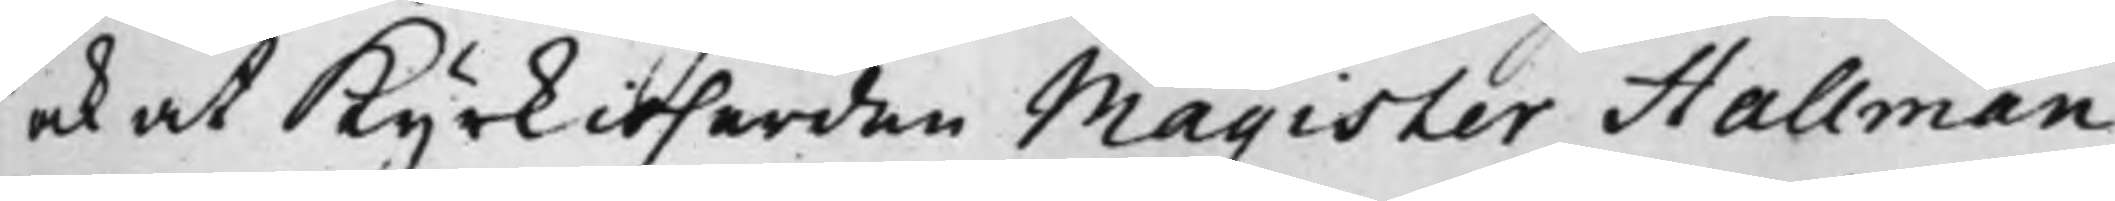och at Kyrkioherden Magister Hallman
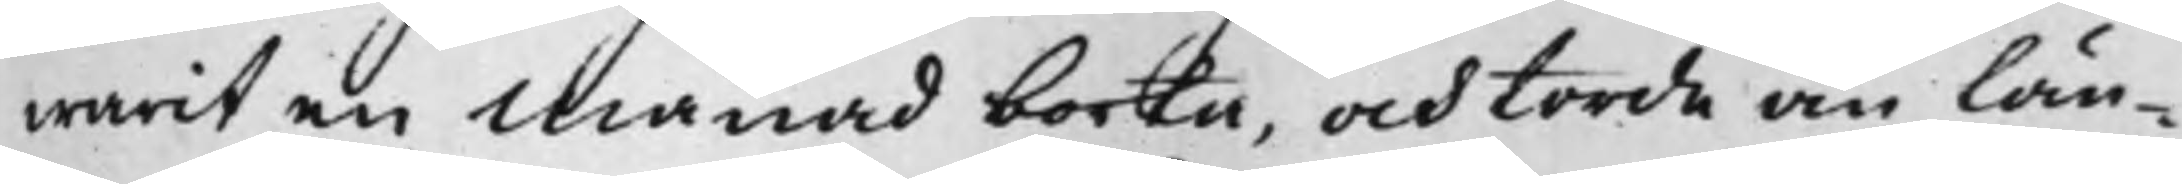warit en Månad bortta, och torde än län¬
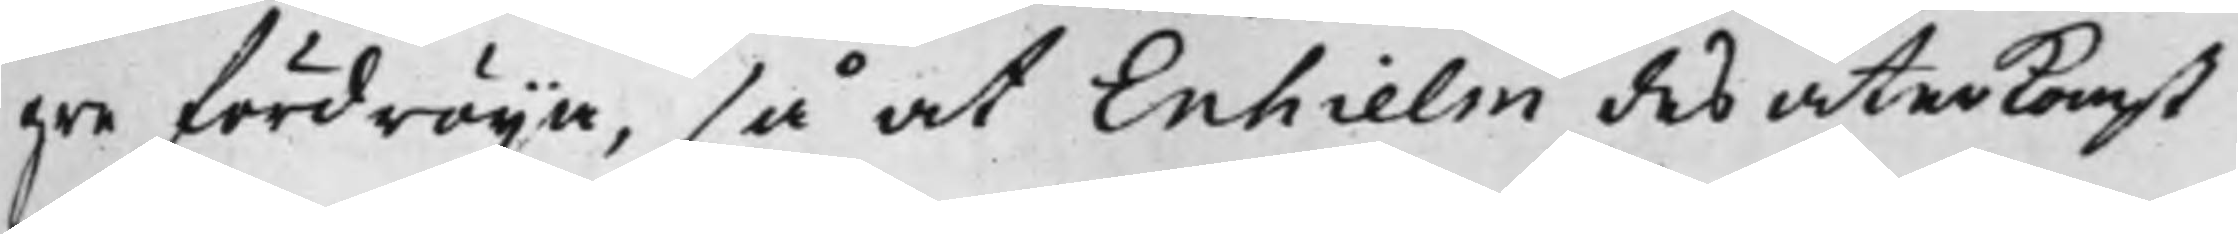gre fördröija, så at Enhielm des återkomst
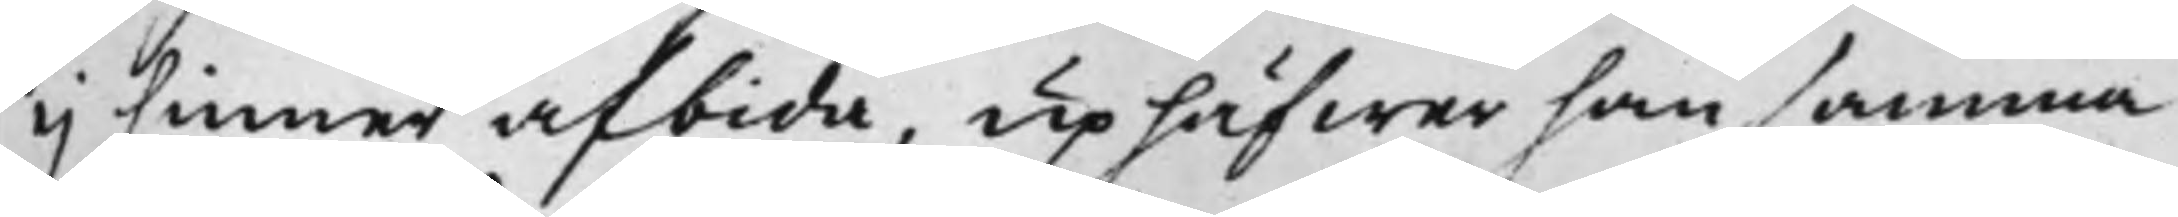ej hinner afbida, uphäfwer han samma
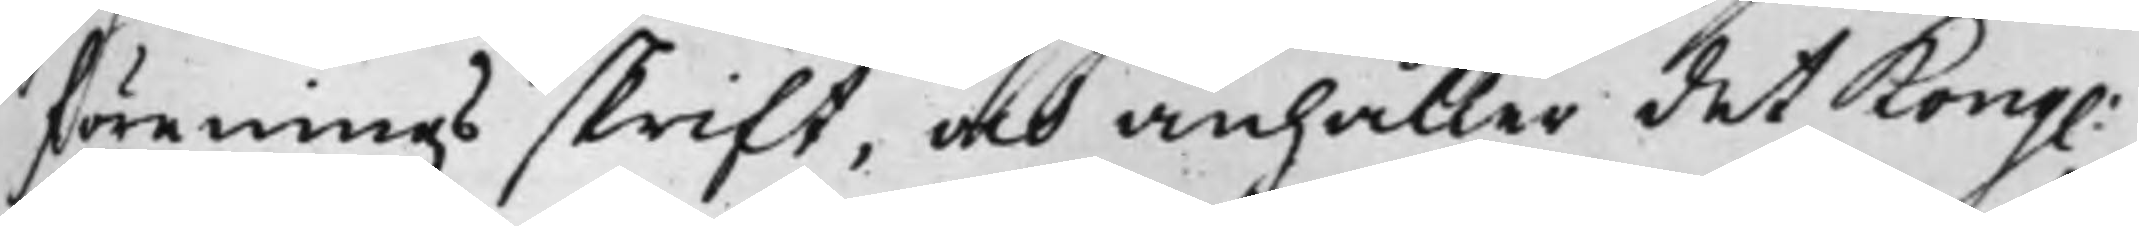föreningsskrift, och anhåller det Kong:
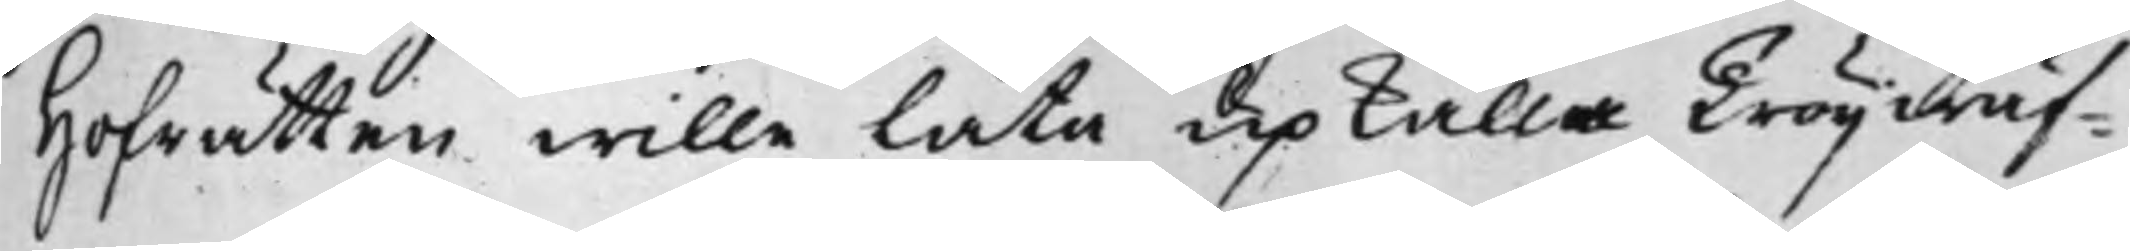Hofrätten wille låta upkalla Tröijwäf¬
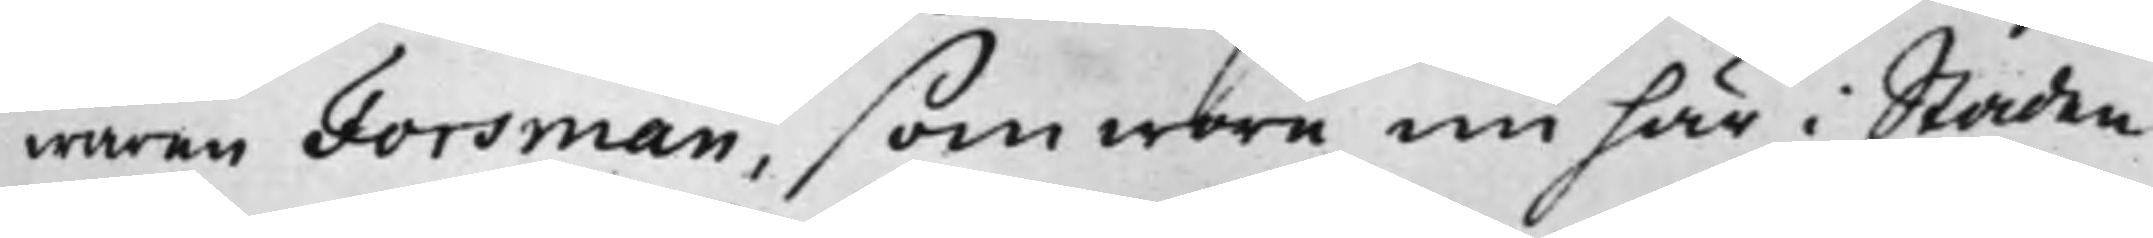waren Forsman, som wore nu här i Staden
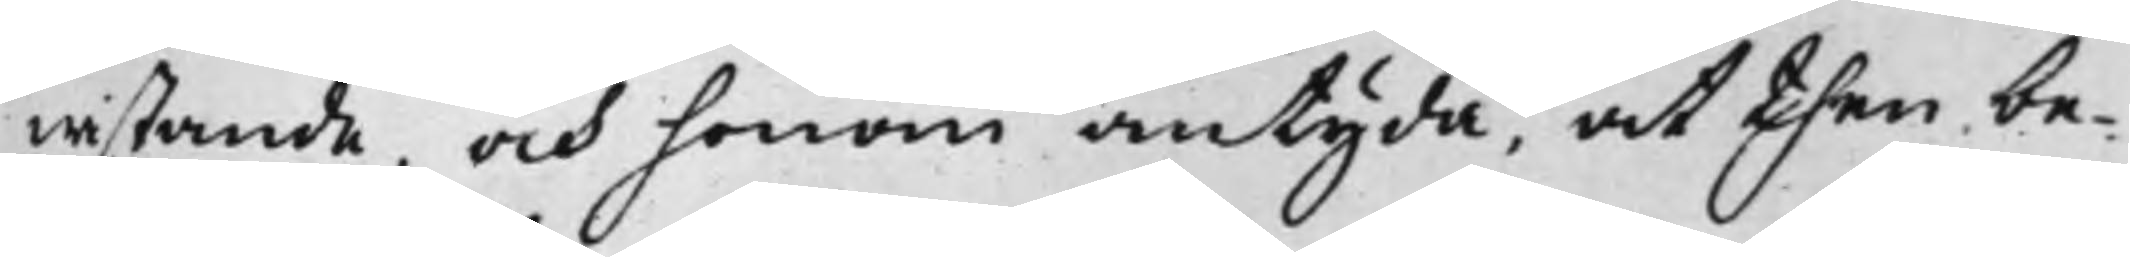wistande, och honom antyda, at then be¬
